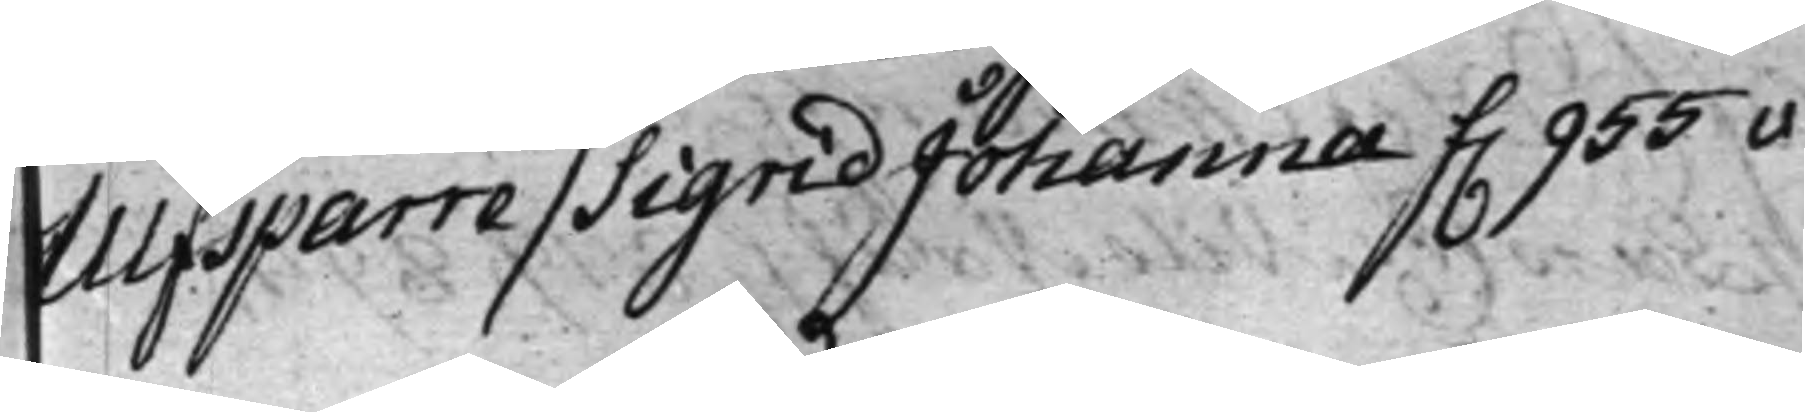Ulfsparre / Sigrid Johanna f. 955v
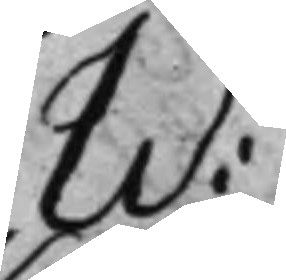W:
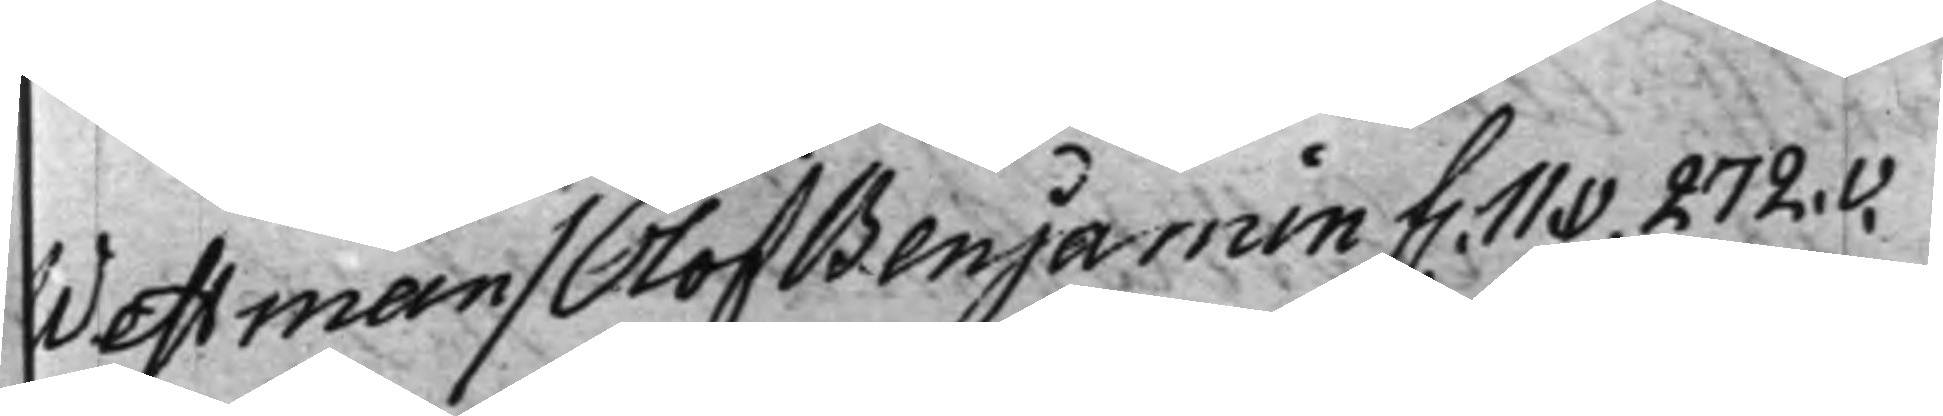Westman / Olof Benjamin f. 11.v. 272.v.
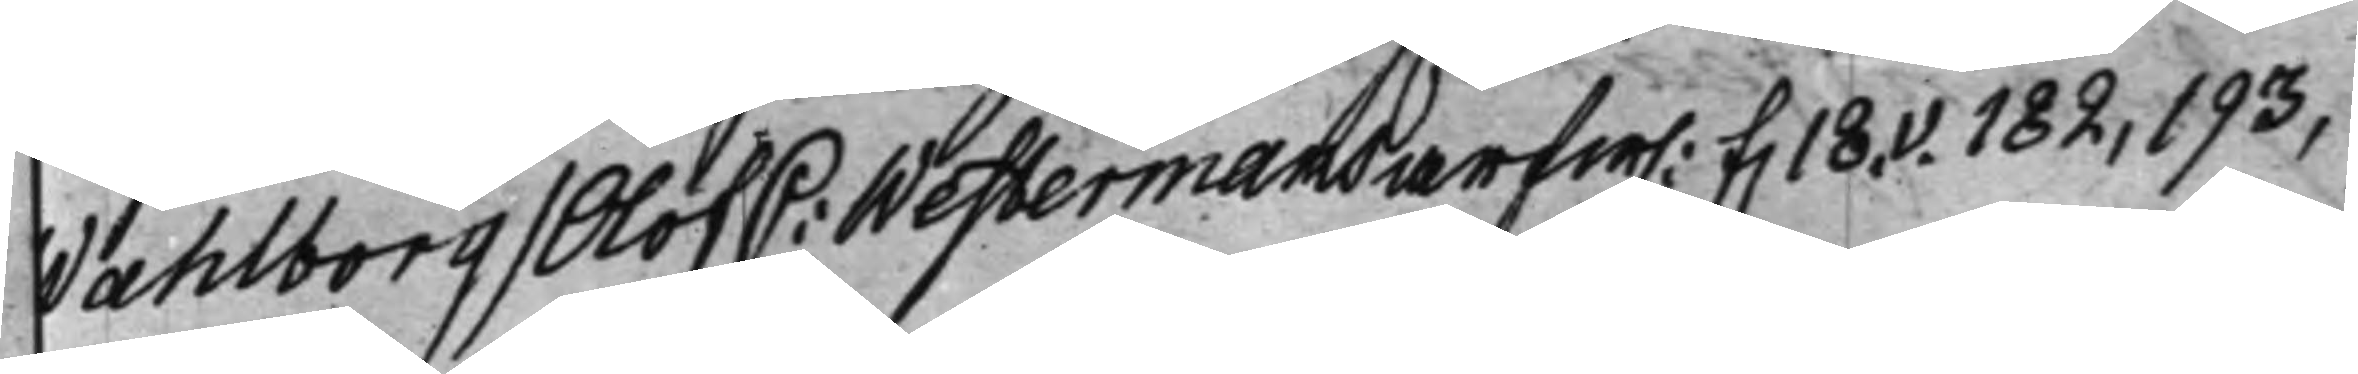Wahlborg / Olof C: Westermans arfw. f. 18.v. 182, 193,
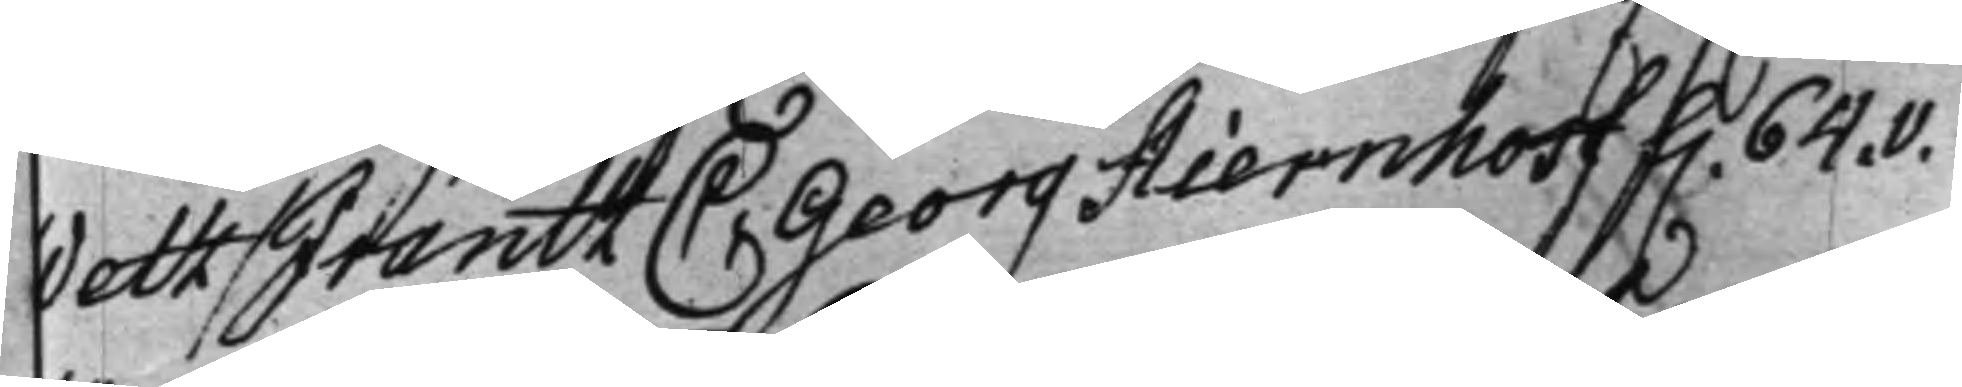Wetz / Frantz C: Georg Stiernhosf f. 64.v.
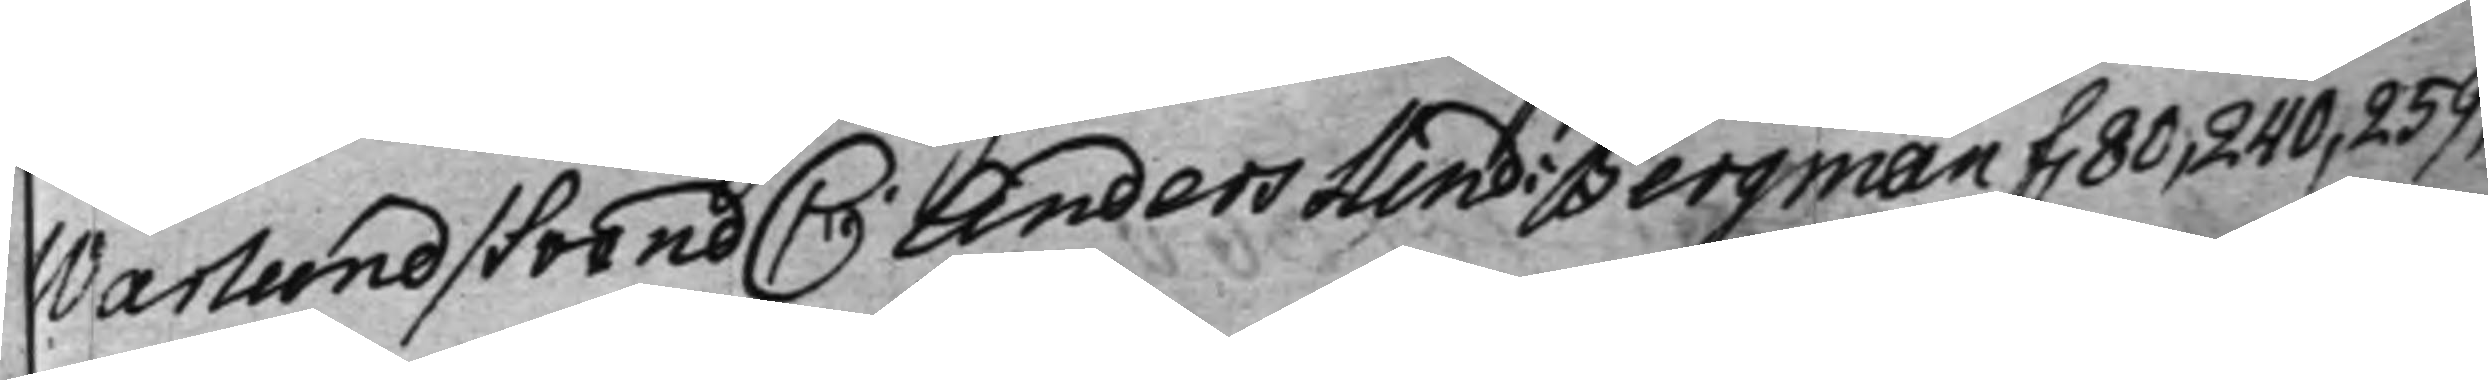Warlund / Svend C: Anders Hind: Bergman f. 80, 240, 259,
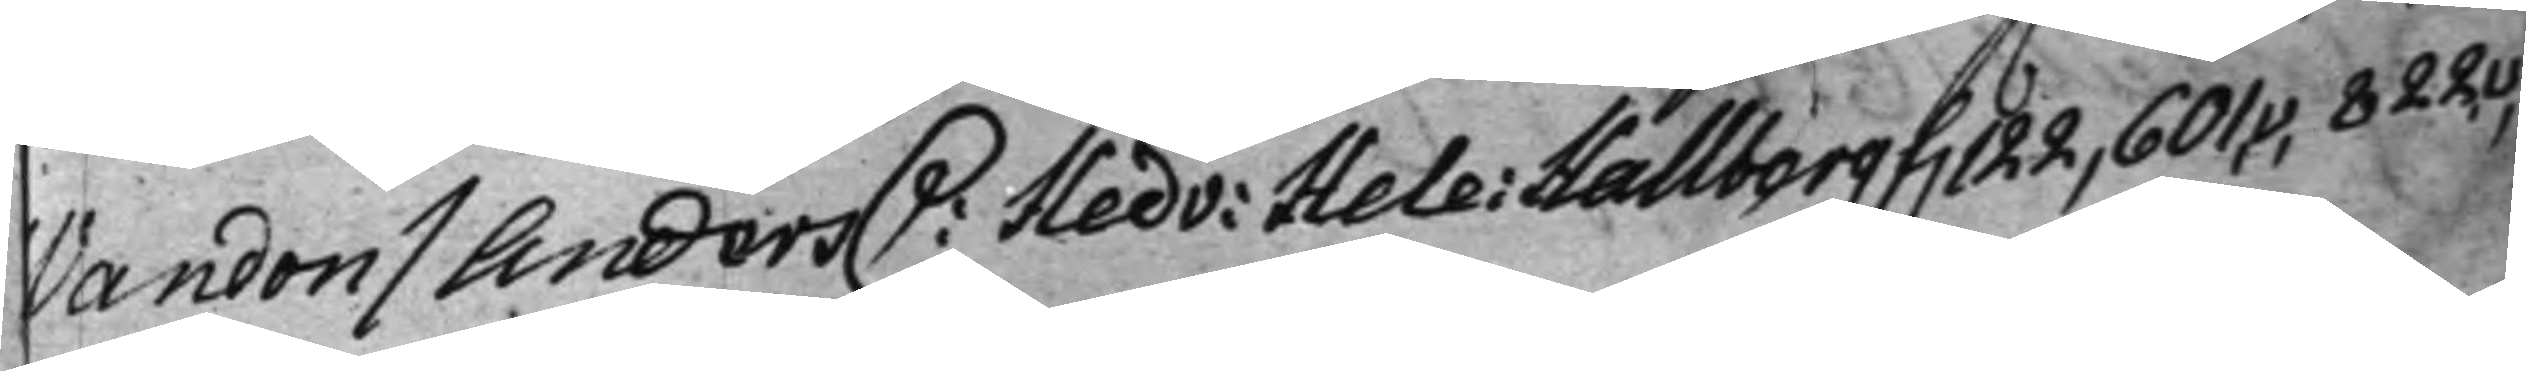Wandon / Anders C: Hedv: Hele: Hallberg f. 122, 601,v, 822,v,
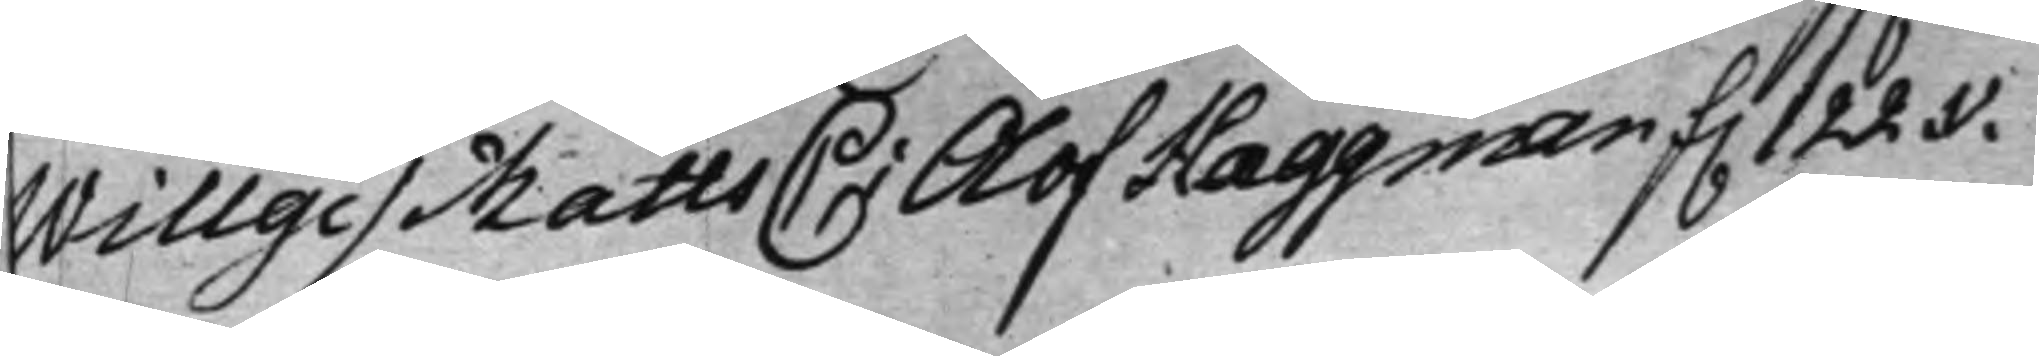Willge / Matts C: Olof Hæggman f. 122.v.
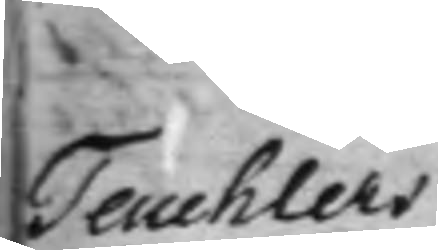Teuchlers
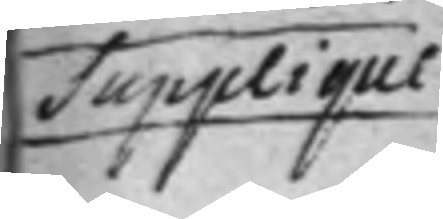Supplique
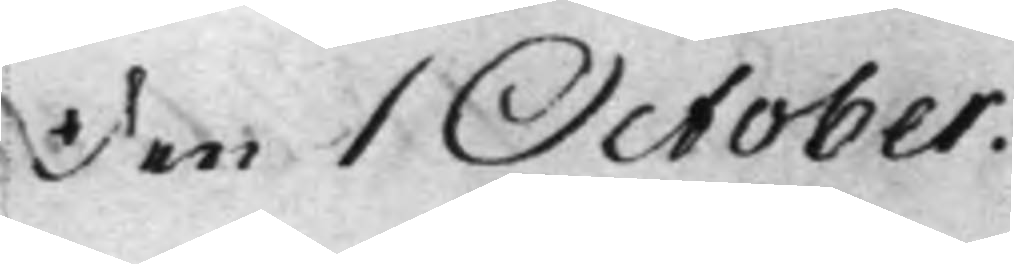Den 1 October.
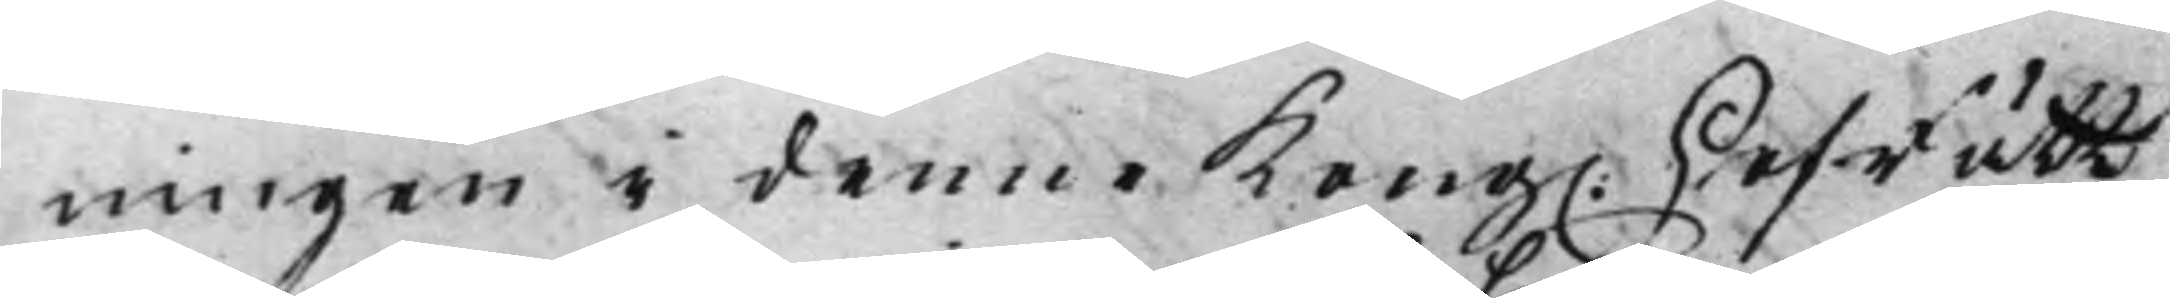ningen i denne Kong. HofRätt
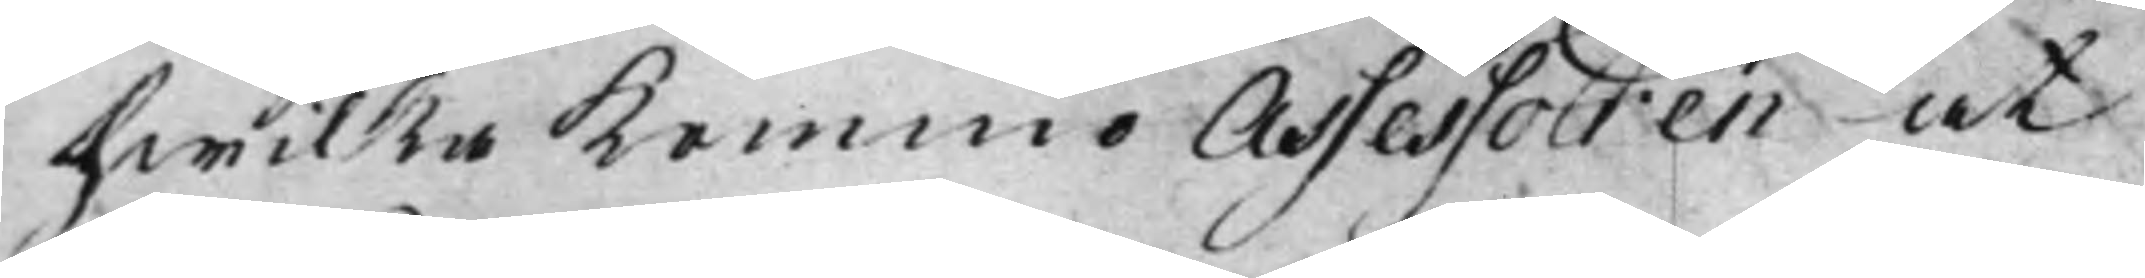hwilka Kommo Assessoren at
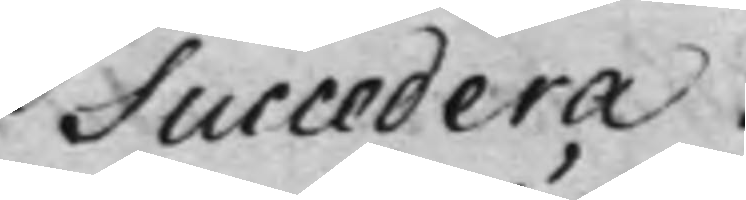Succedera.
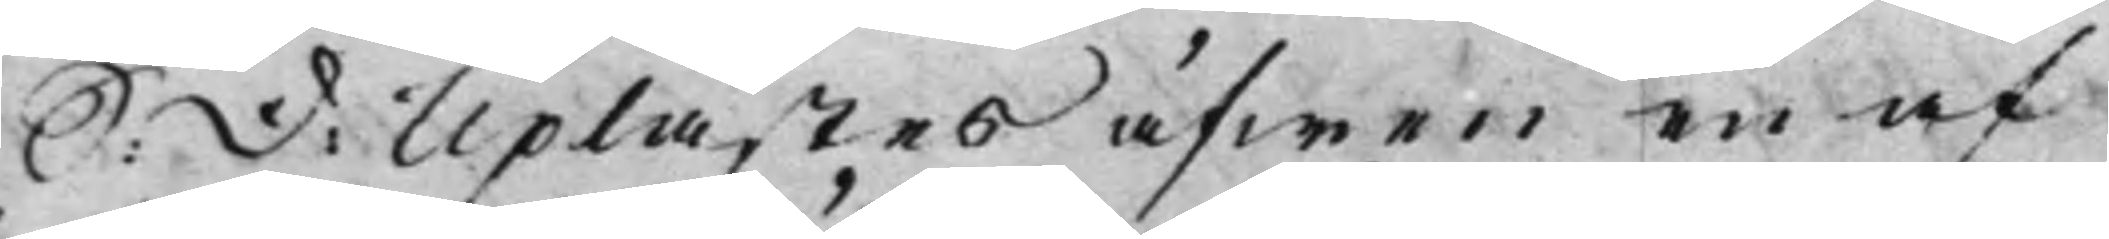S: D: Uplästes äfwen en af
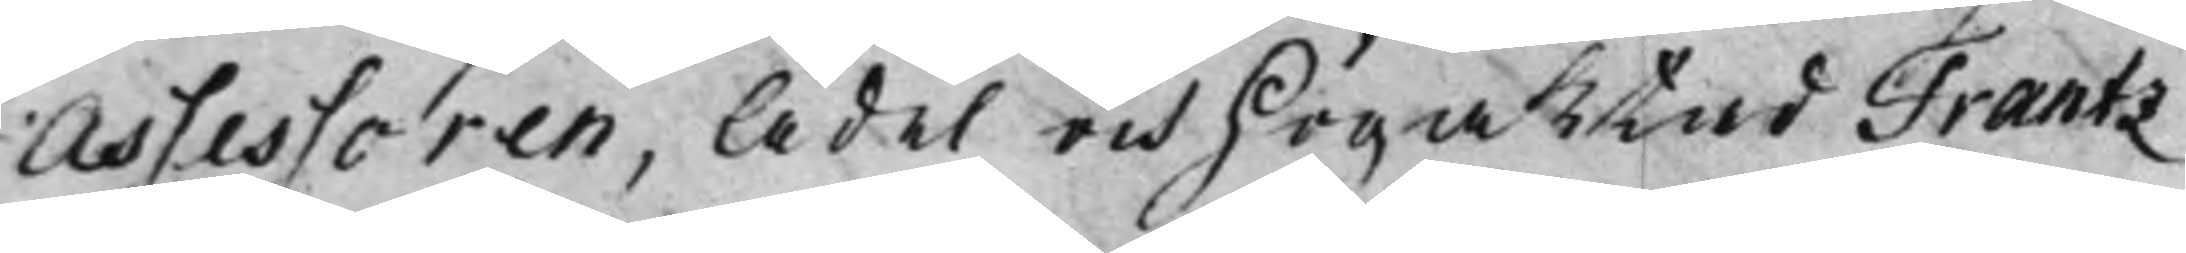Assessoren, Ädel och Högaktad Frantz
